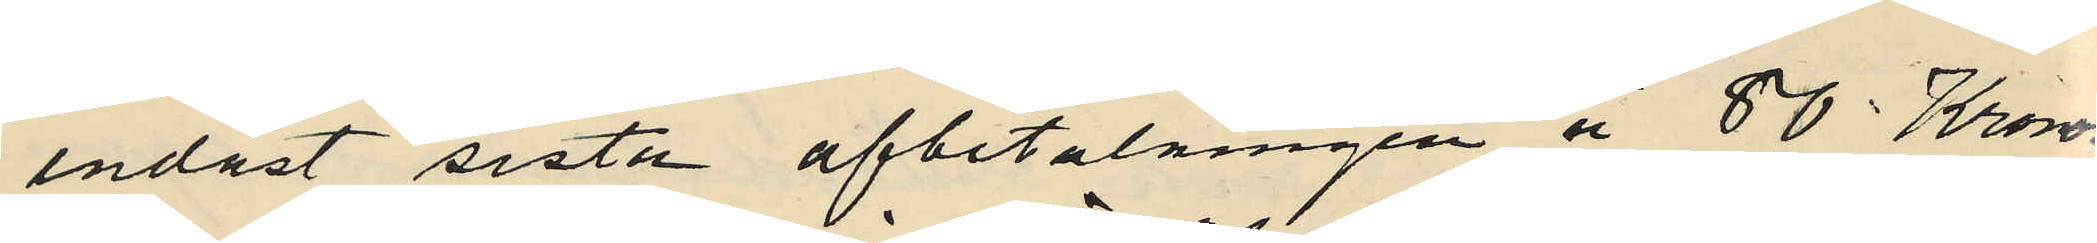endast sista afbetalningen å 80 Kronor
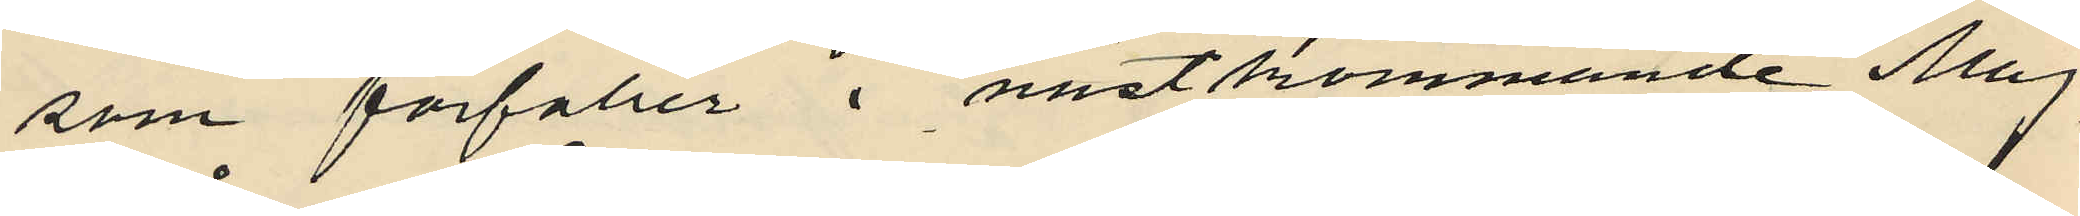som förfaller i nästkommande Maj
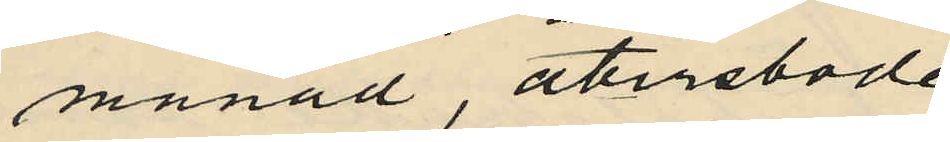månad, återstode
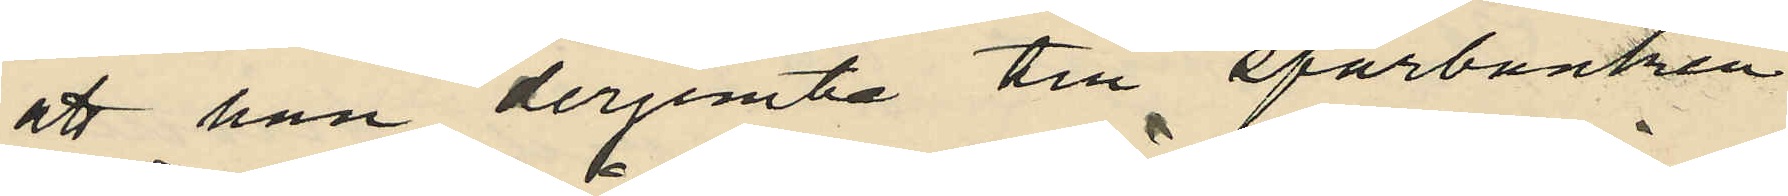att han derjemte till sparbanken i
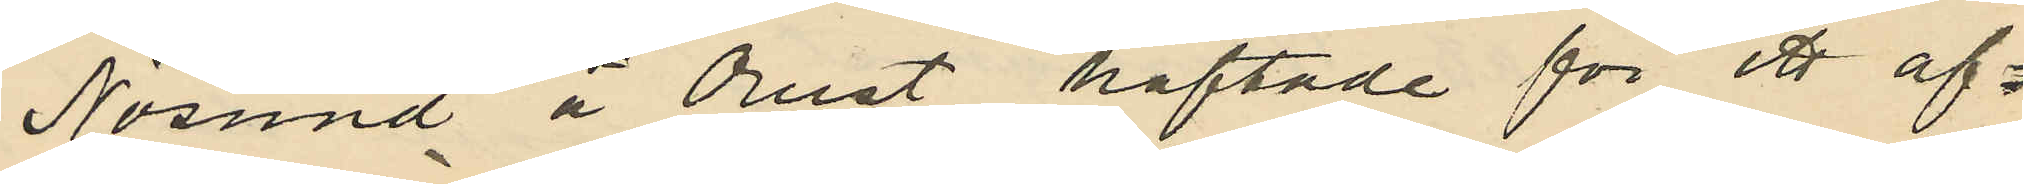Nösund å Orust häftade för ett af¬
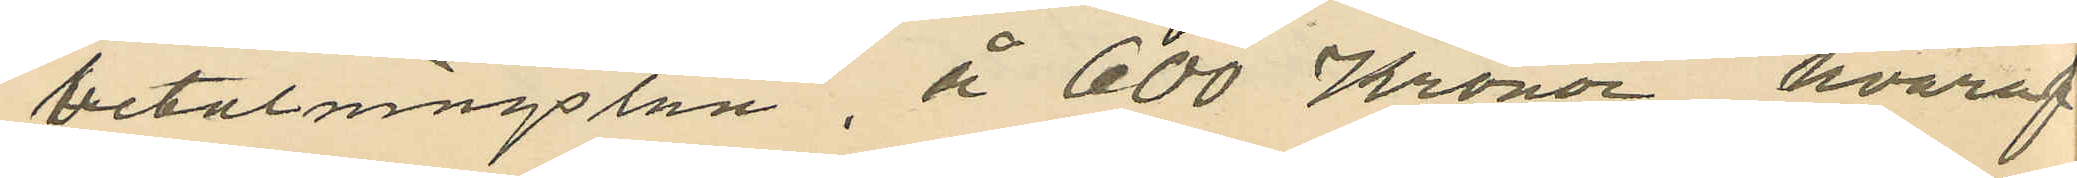betalningslån å 600 Kronor, hvaraf
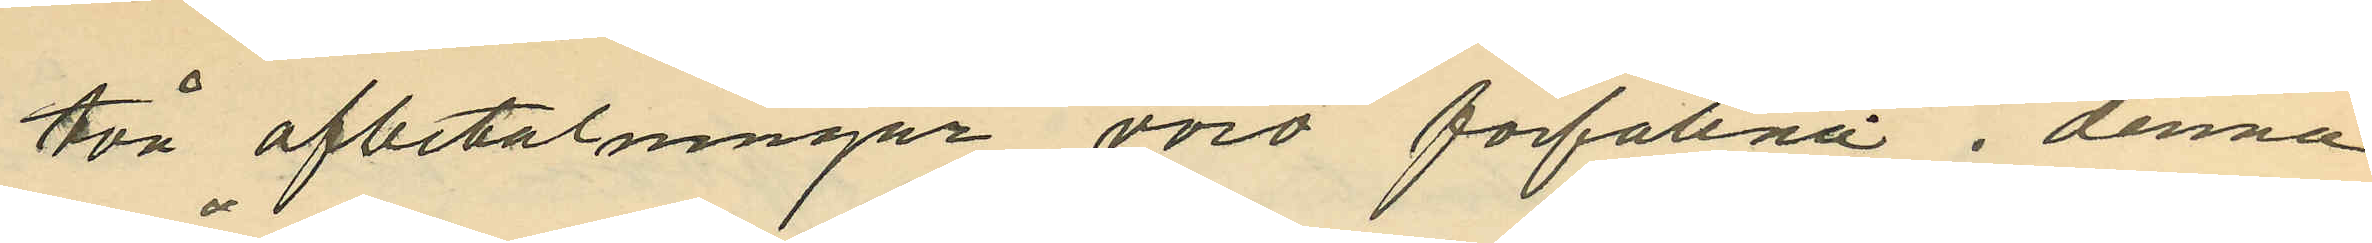två afbetalningar voro förfallna i denna
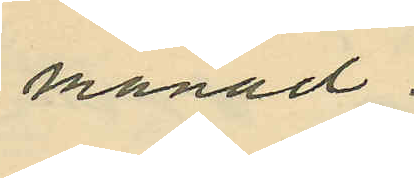månad.
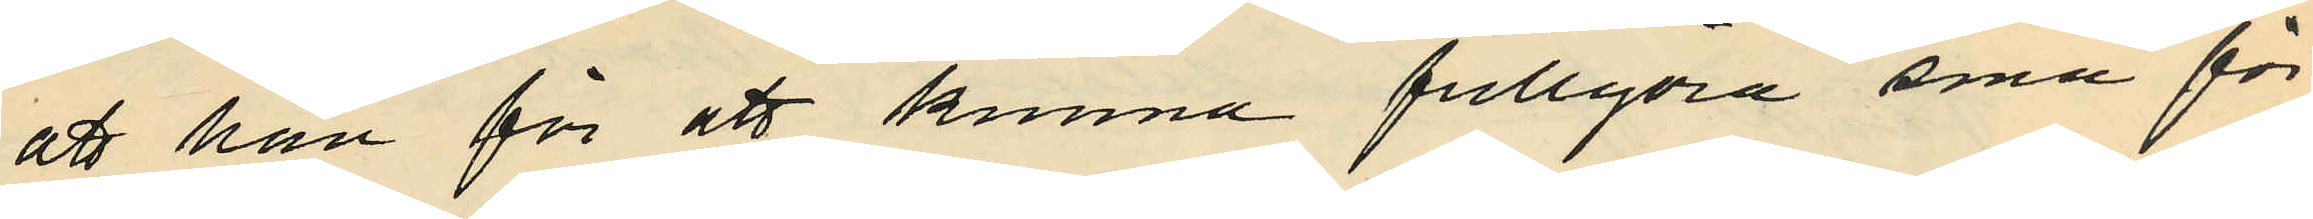att han för att kunna fullgöra sina för¬
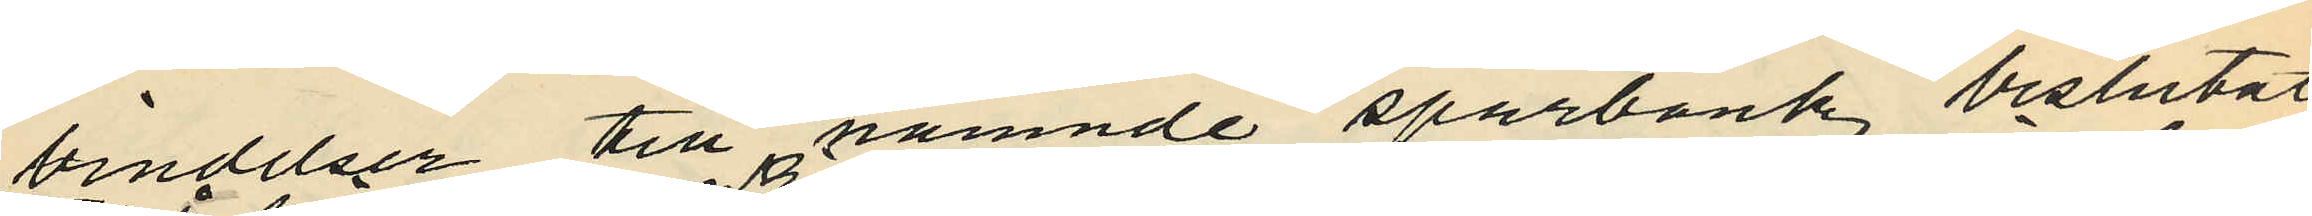vindelser till nämnde sparbank beslutat
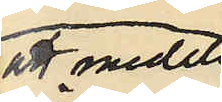att medelst
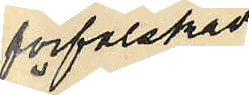förfalskade
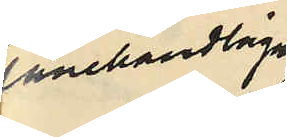lånehandlingar
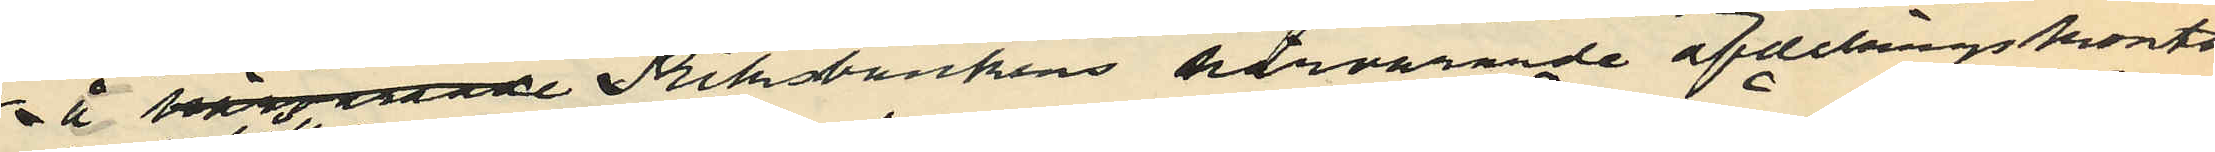å härvarade Rikbankens härvarande afdelningskontor
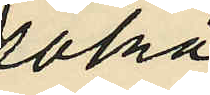söka
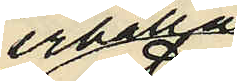erhålla
